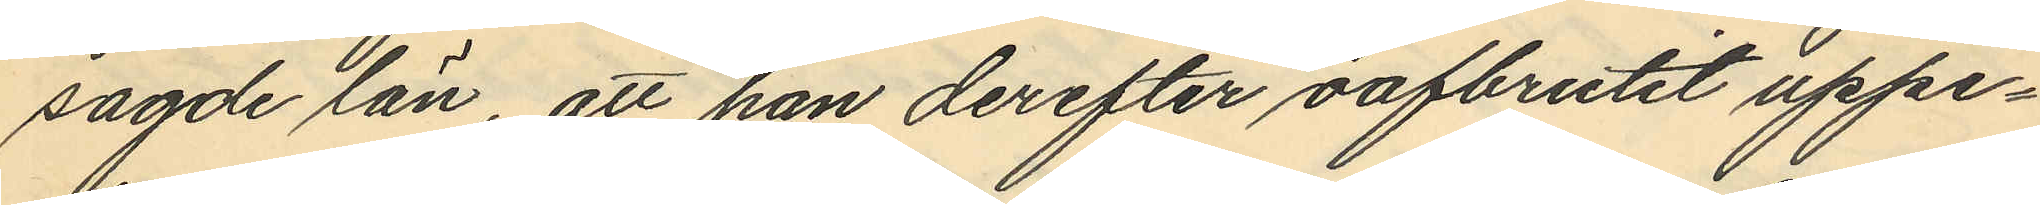sagde län, att han derefter oafbrutet uppe¬
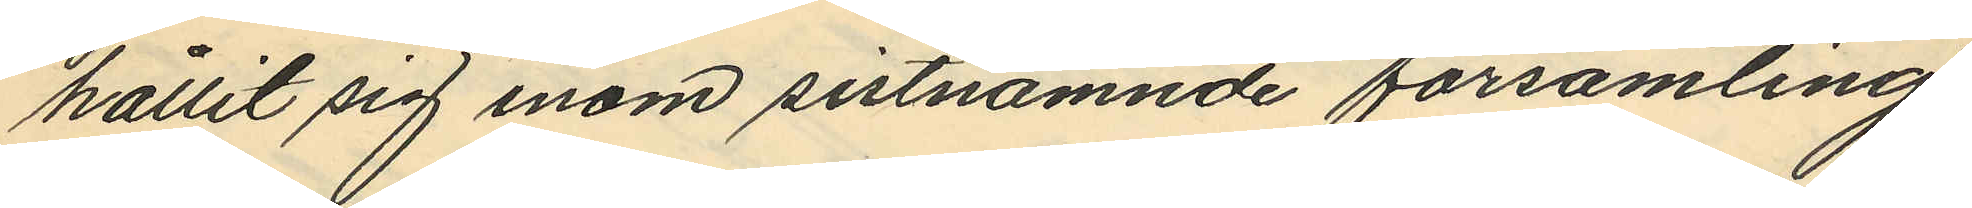hållit sig inom sistnämnde församling
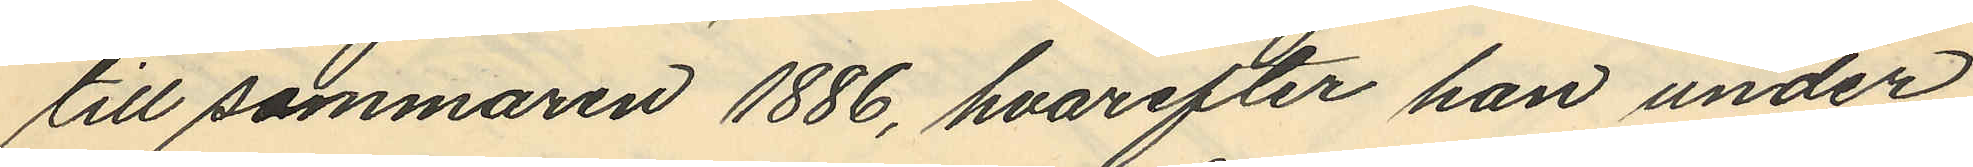till sommaren 1886, hvarefter han under
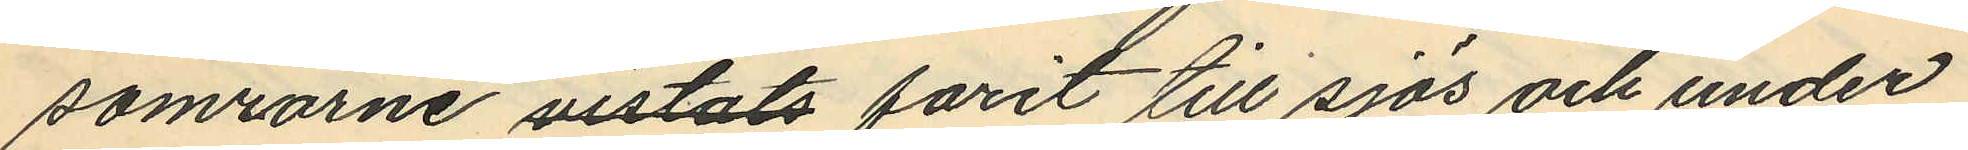somrarne vistats farit till sjös och under
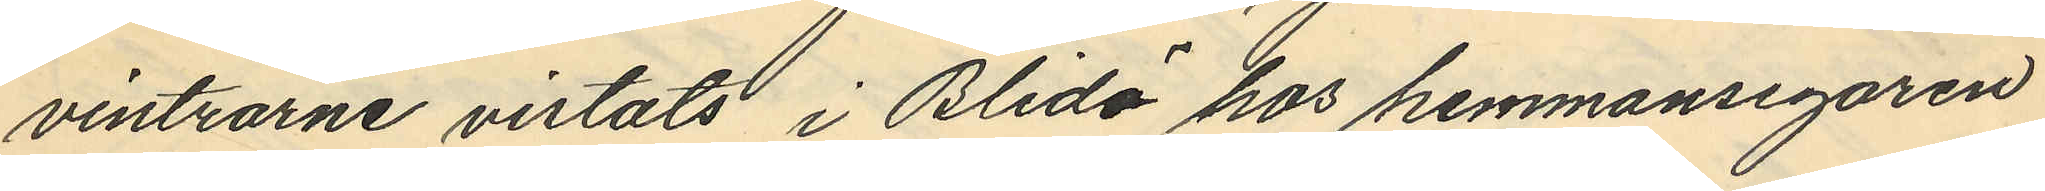vintrarne vistats i Blidö hos hemmansegaren
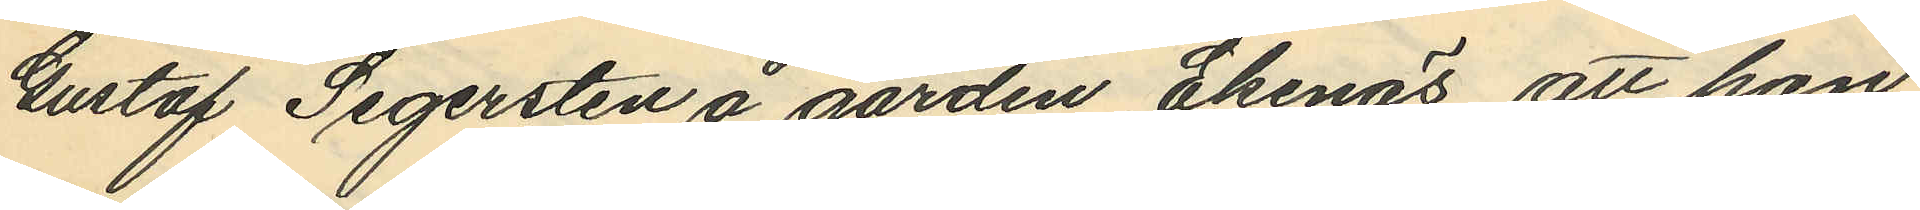Gustaf Segersten å gården Ekenäs, att han
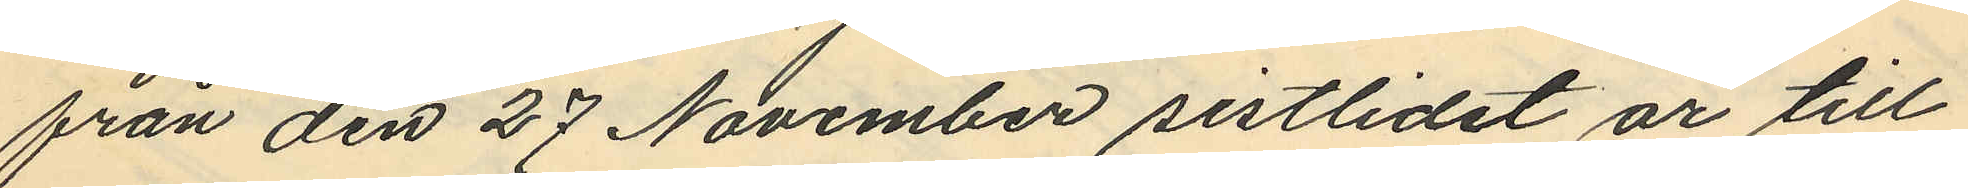från den 27 November sistlidet år till
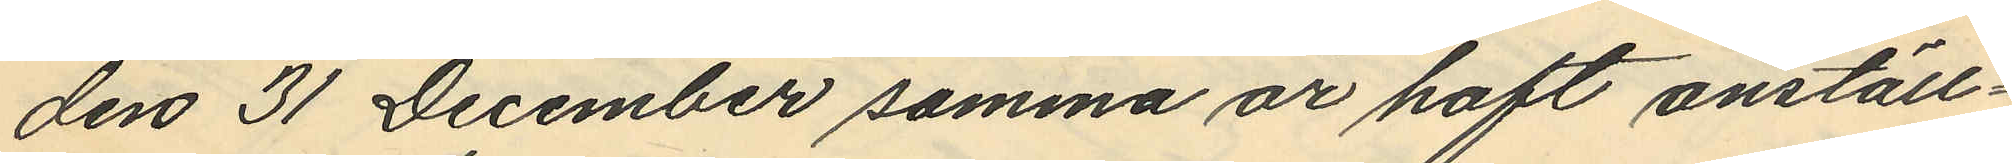den 31 December samma år haft anställ¬
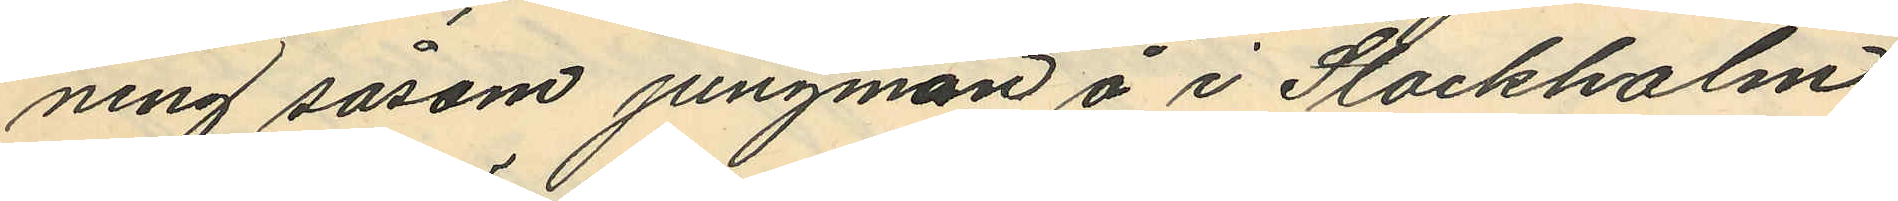ning såsom jungman å i Stockholm
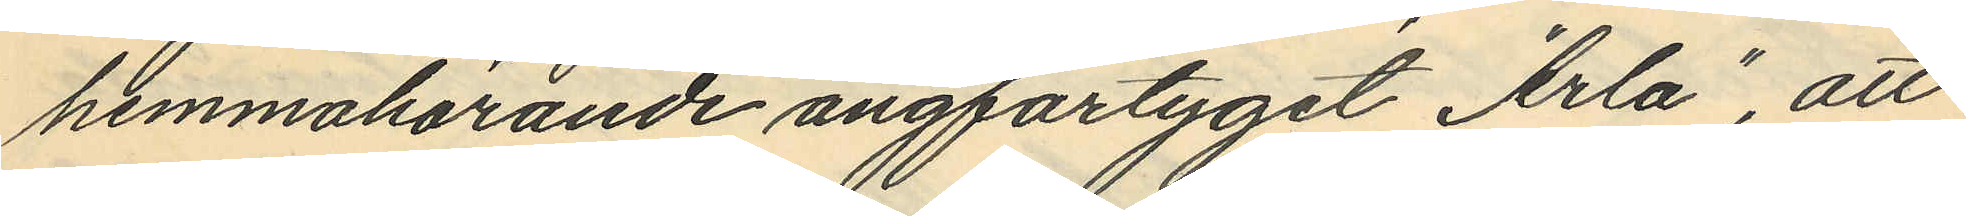hemmahörande ångfartyget "Arla", att
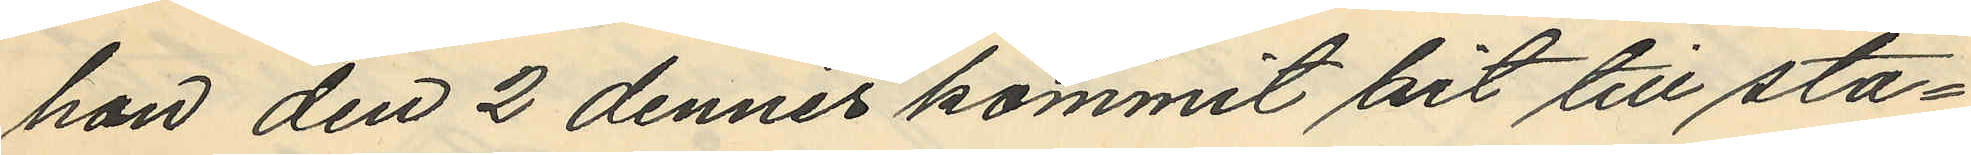han den 2 dennes kommit hit till sta¬
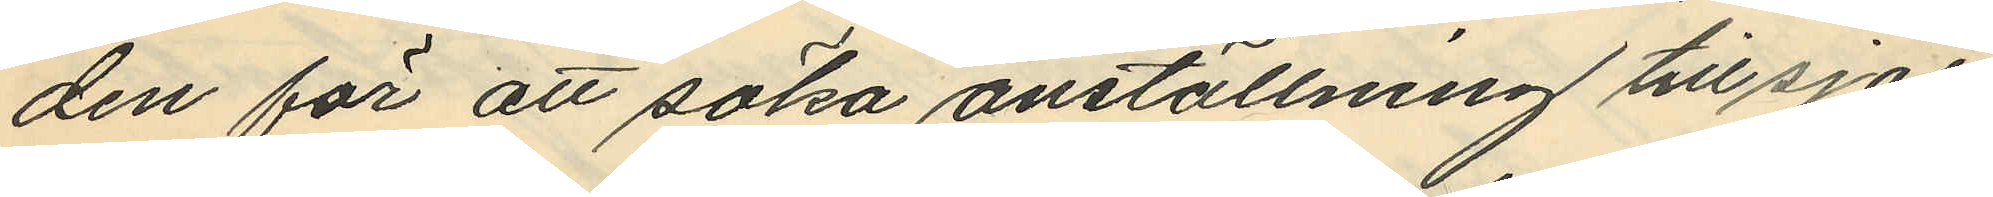den för att söka anställning till sjös
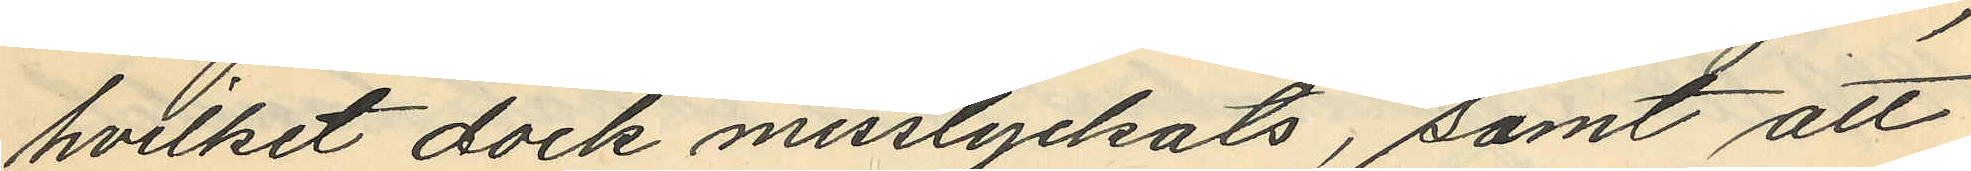hvilket dock misslyckats, samt att
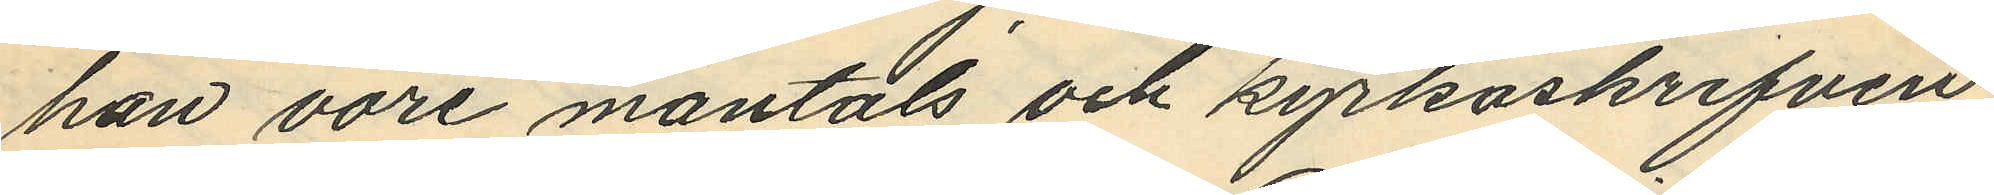han vore mantals och kyrkoskrifven
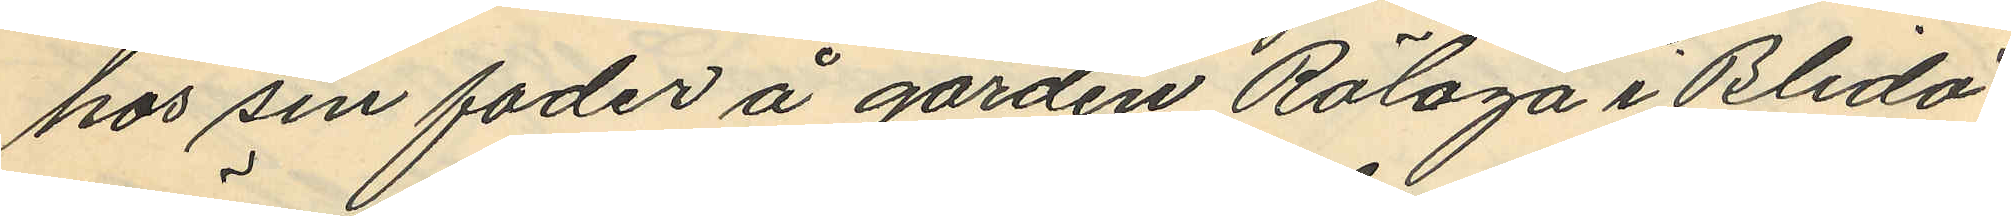hos sin fader å gården Rölöga i Blidö
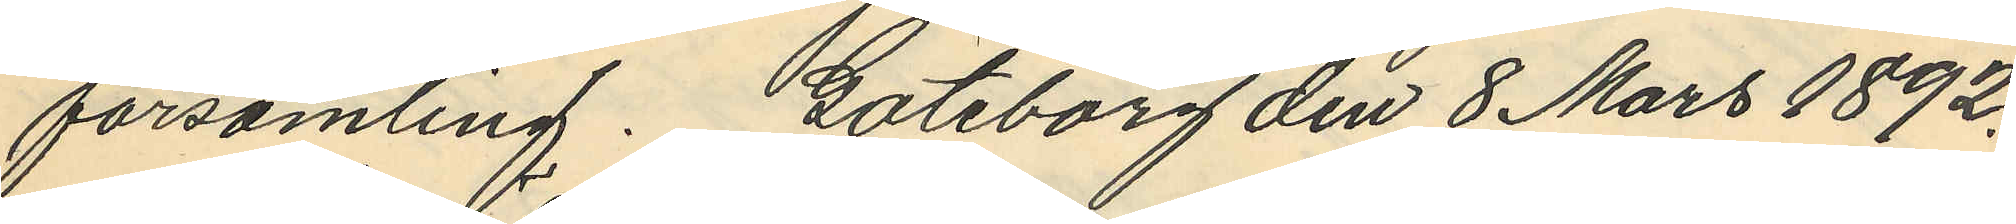församling. Göteborg den 8 Mars 1892.
